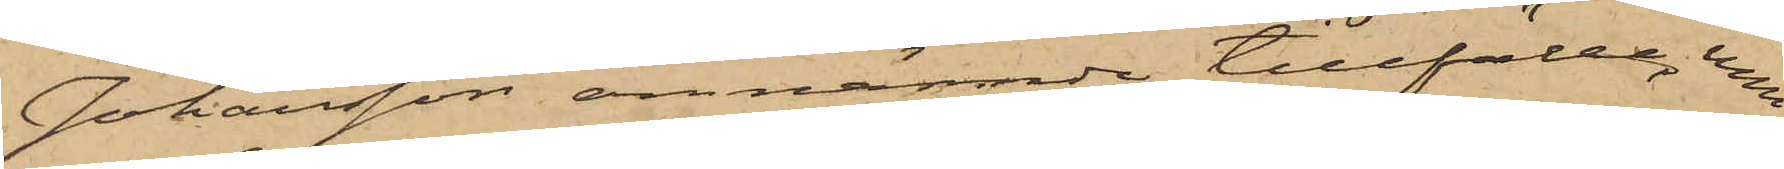Johansson omnämnde tillfälle, men
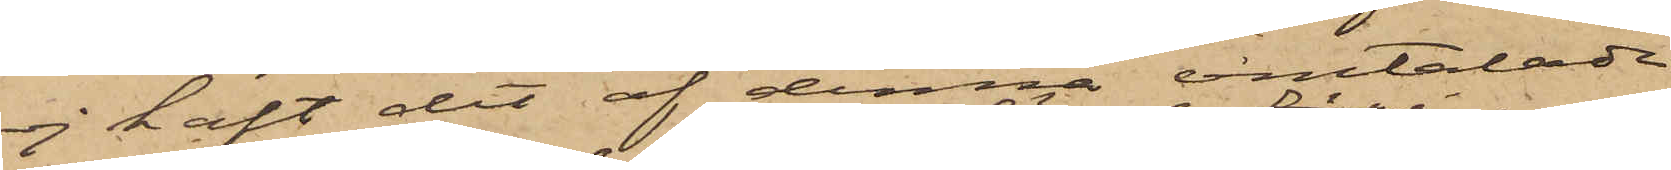ej haft det af denna omtalade
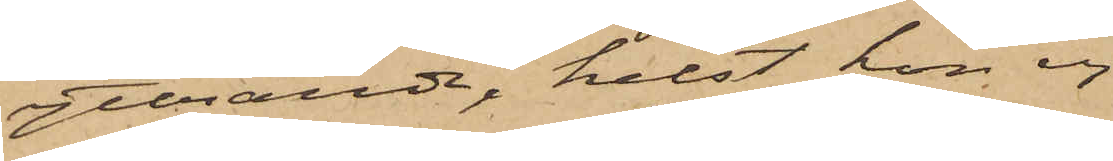yttrande, helst hon ej
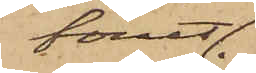förut
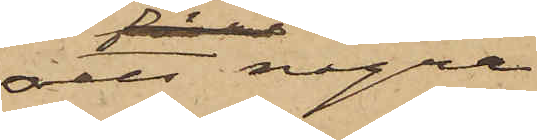sett några
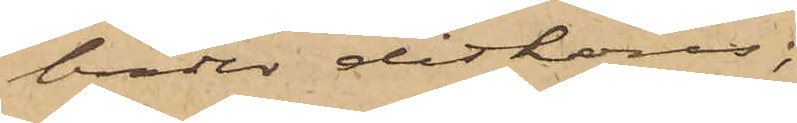bräder ditköras;
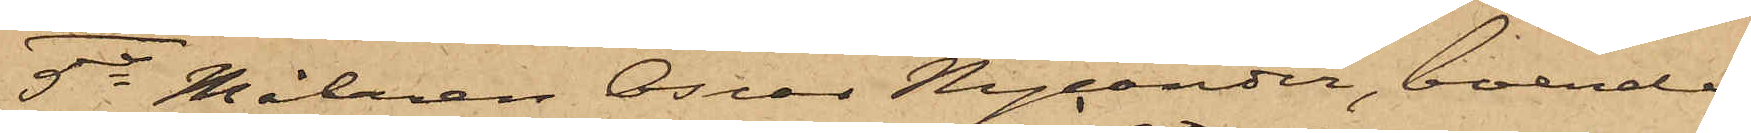5o Målaren Oscar Nycander, boende
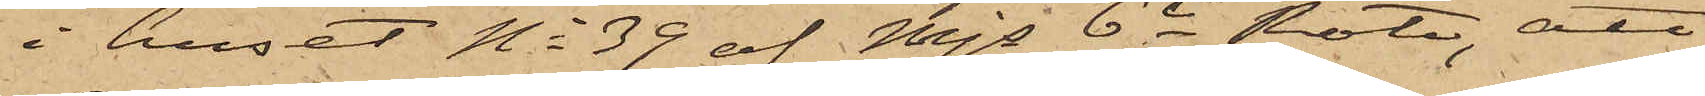i huset No 39 af Mjs 6te Rote, att
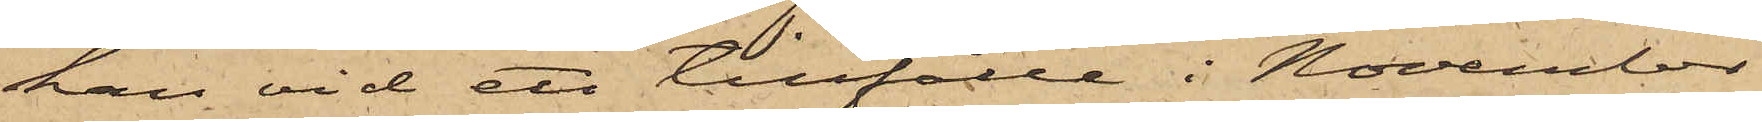han vid ett tillfälle i November
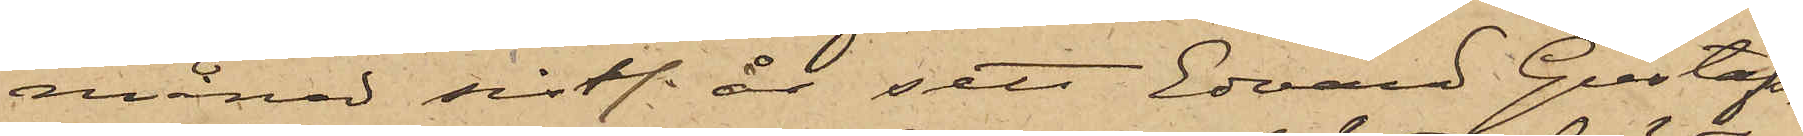månad sistl. år sett Edvard Gustafs¬
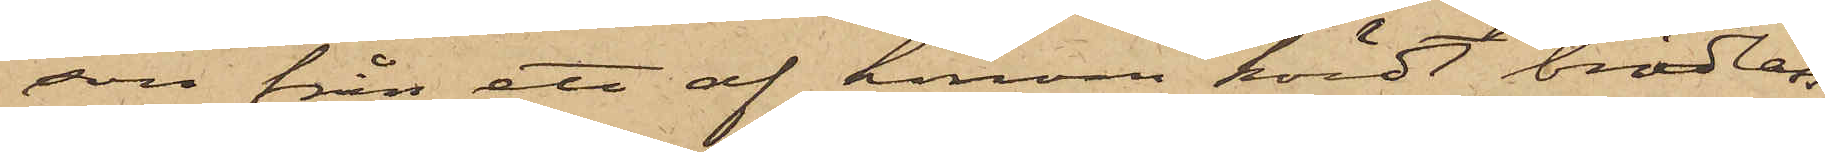son från ett af honom kördt brädlass
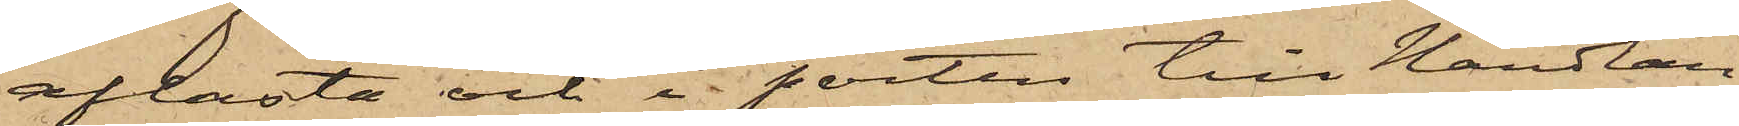aflasta och i porten till Handlan¬
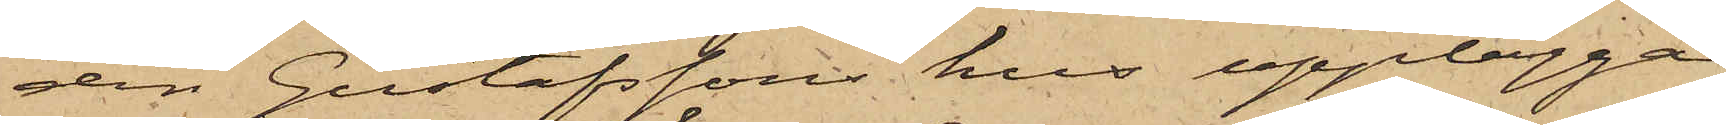den Gustafssons hus upplägga
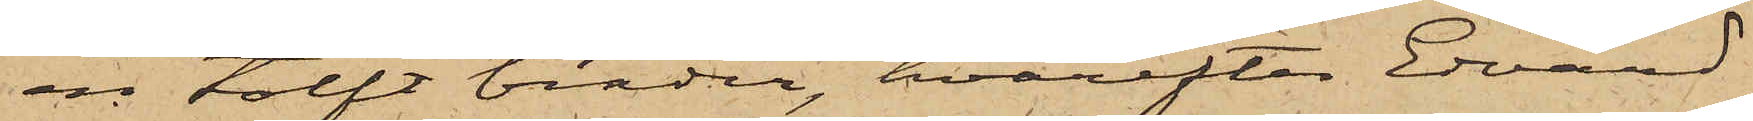en tolft bräder, hvarefter Edvard
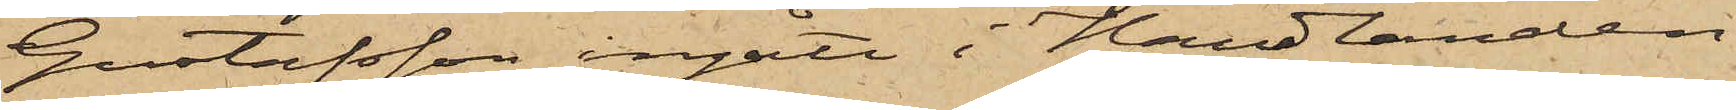Gustafsson ingått i Handlanden
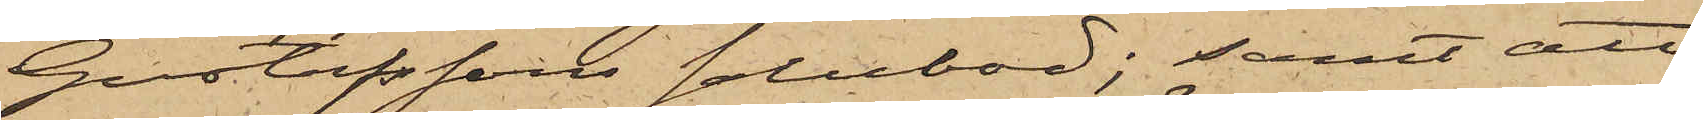Gustafssons salubod; samt att
